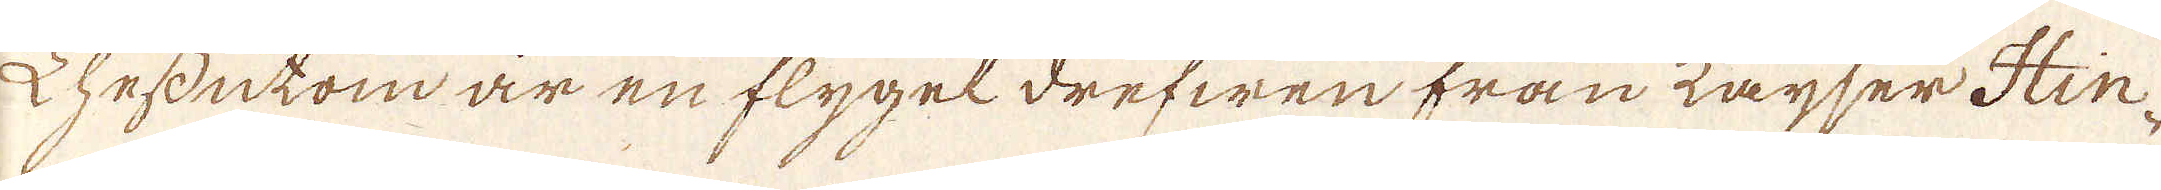Dhessutom är en flygel drefwen från Kayser Hin-
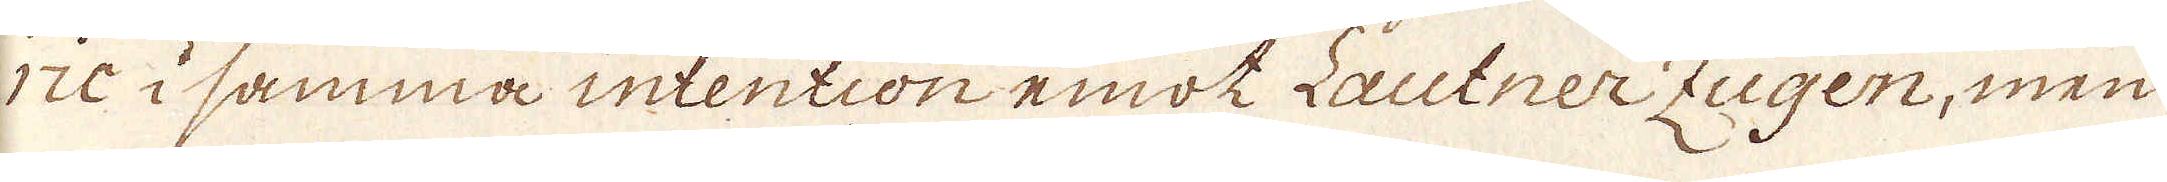ric i samma intention emot Lautner Zugen, men
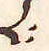L:
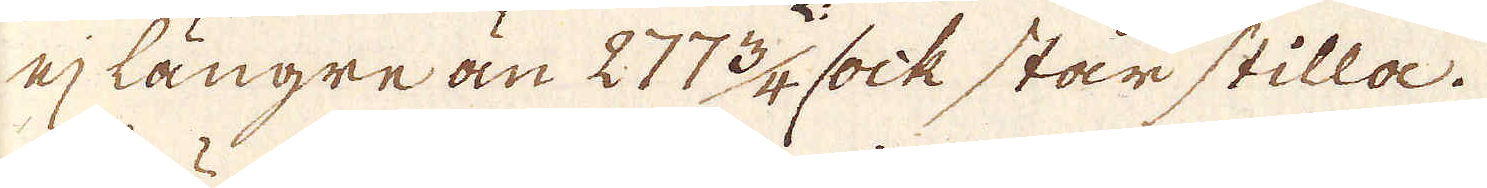ej längre än 277 3/4 sock står stilla.
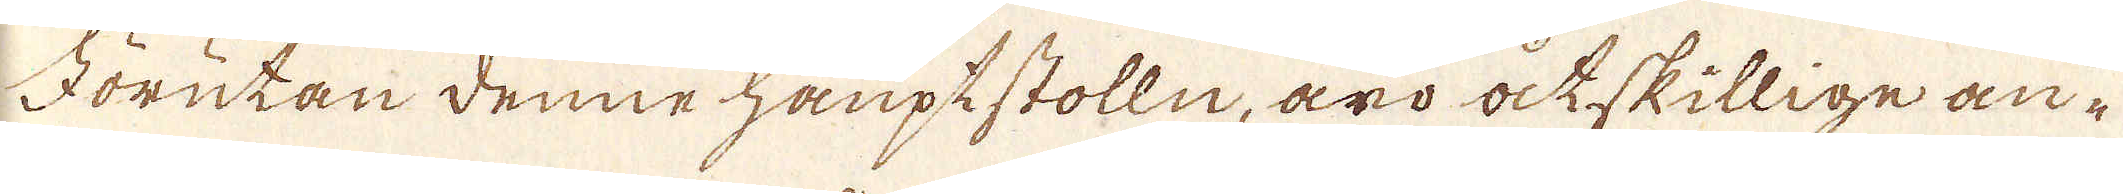Förutan denne hauptstolln, äro åctskillige an-
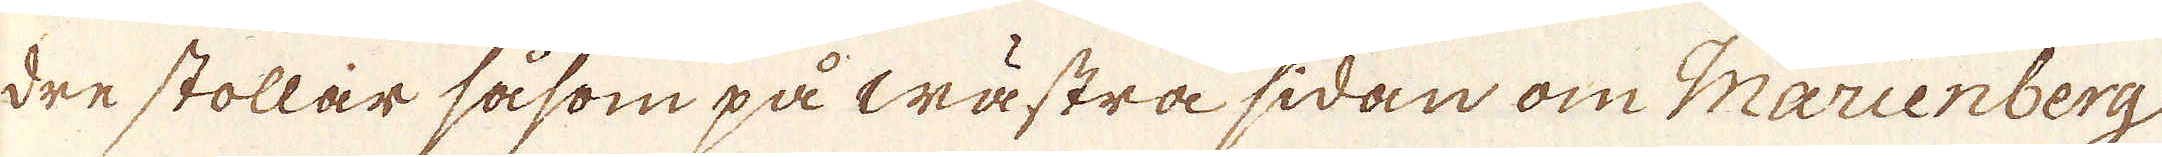dre stollar såsom på wästra sidan om Marienberg
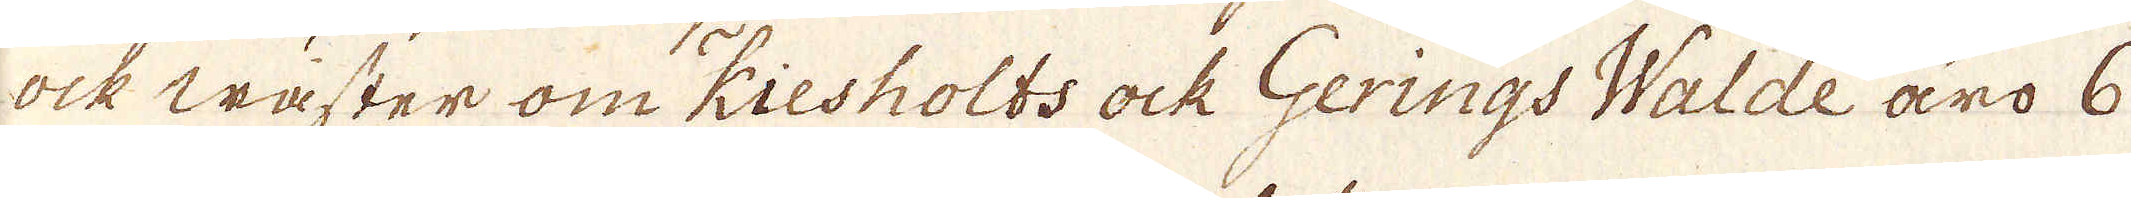ock wäster om Kiesholts ock Gerings Walde äro 6
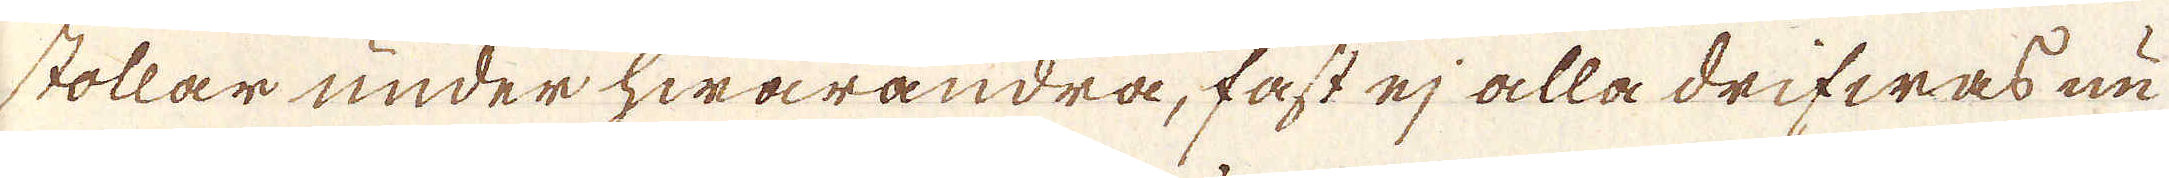stollar under hwarandra, fast ej alla drifwas nu
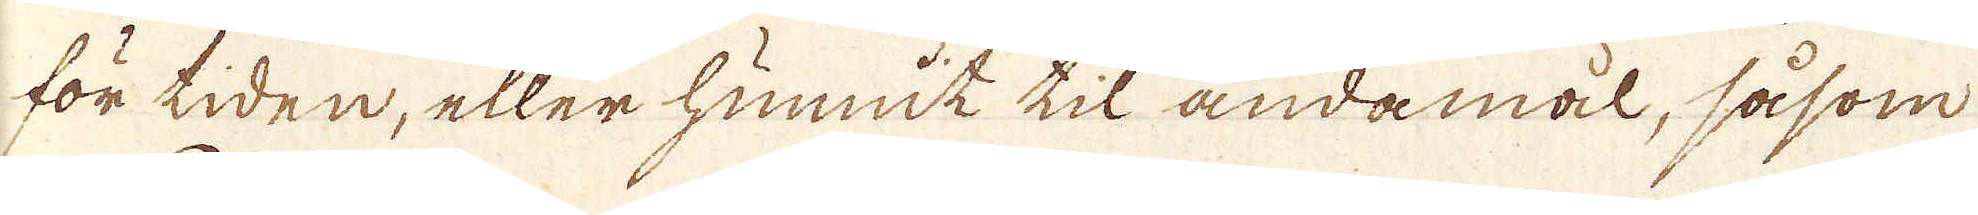för tiden, eller hunnit til ändamäl, såsom
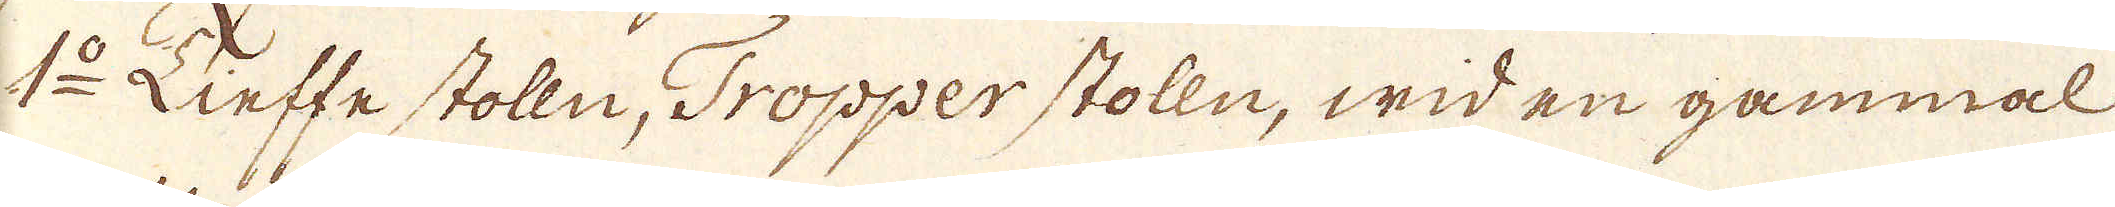1:o Tieffe Stolln, Tropperstolln, wid en gammal
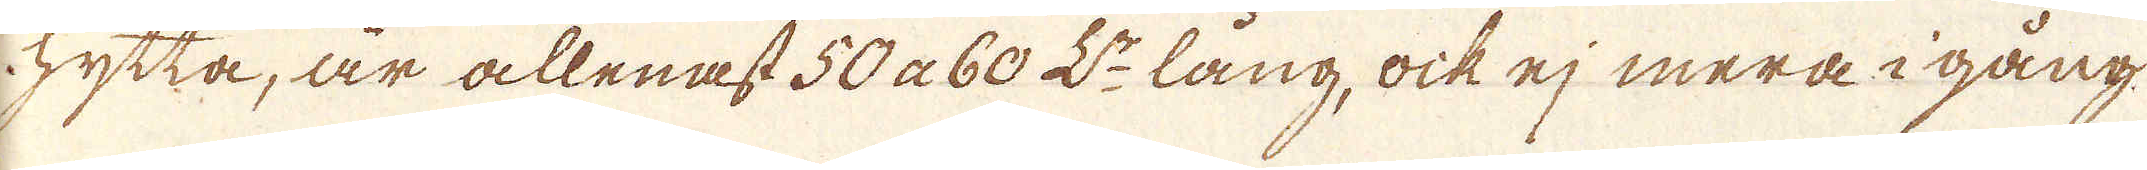hytta, är allenast 50 a 60 L:r lång, ock ej mera i gång,
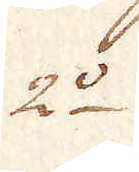2:o
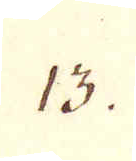13.
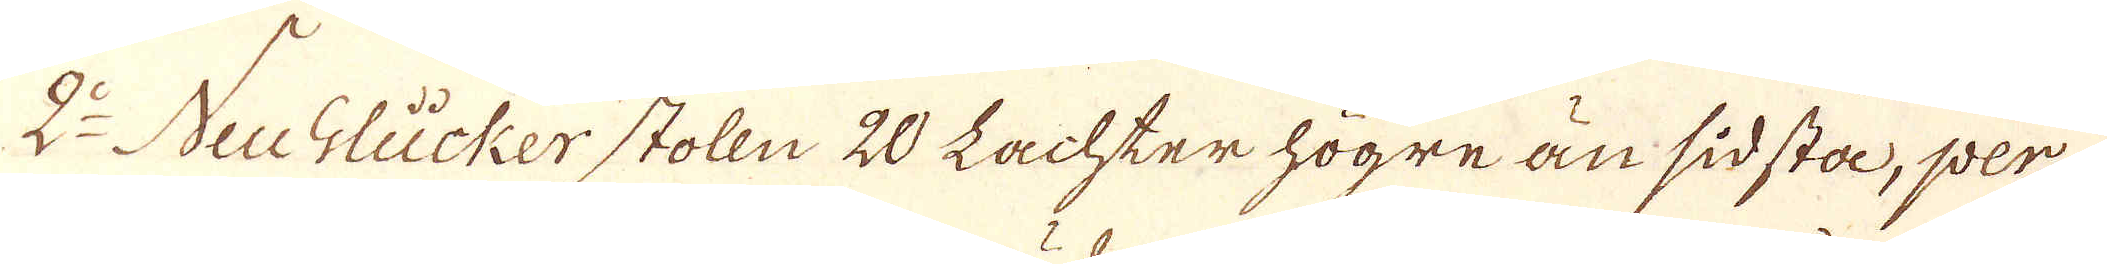2:o Neu Glücker stolln 20 Lachter högre än sidsta, per-
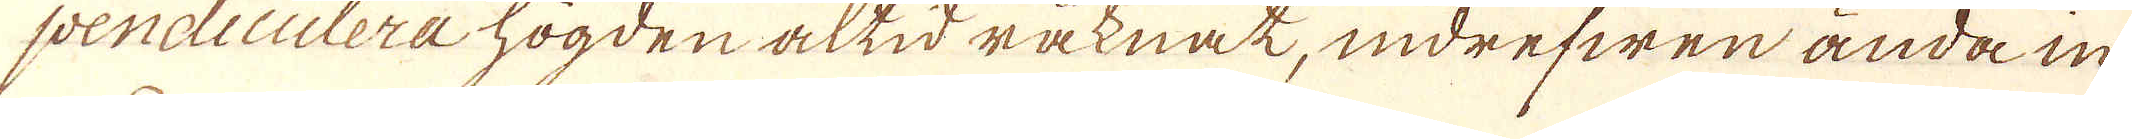pendiculera högden altid räknat, indrefwen ända in
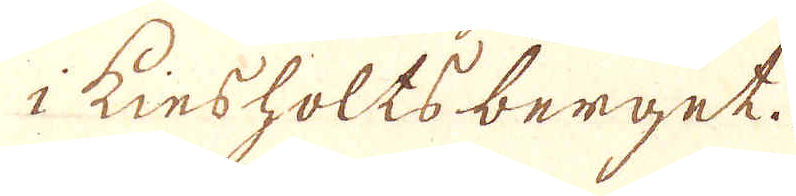i Kiesholtsberget.
